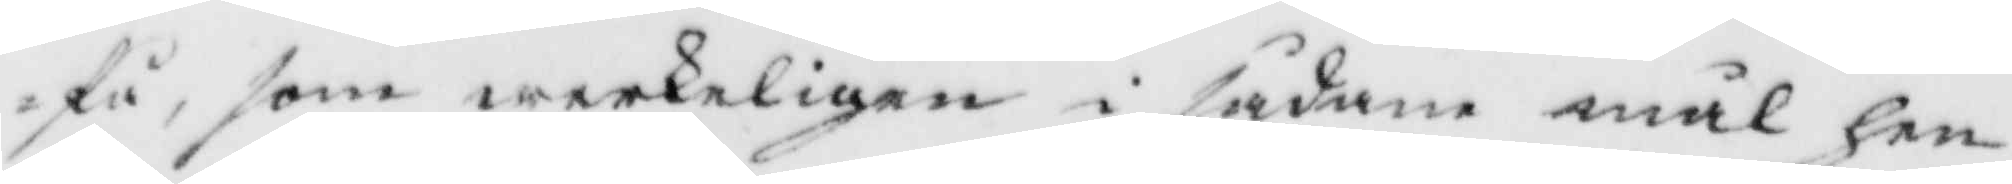få, som werkeligen i sådane mål hen¬
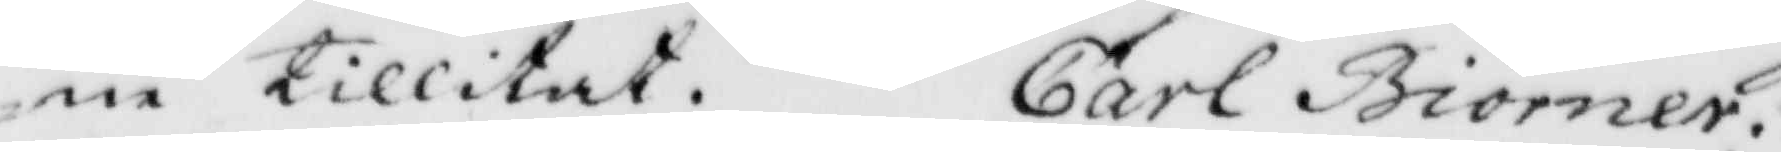ne tillitat. Carl Biörner.
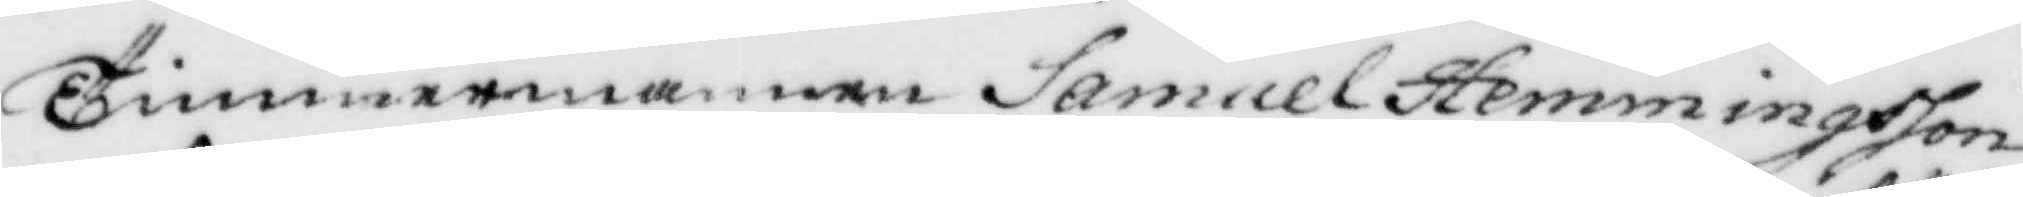Timmermannen Samuel Hemmingsson,
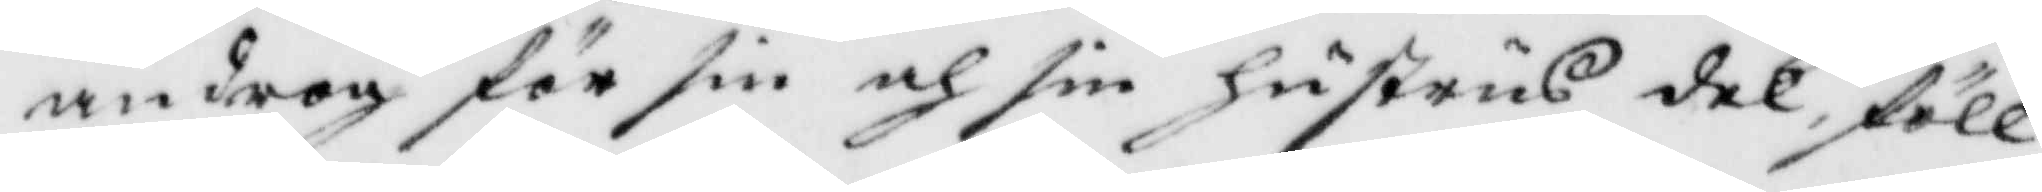androg för sin och sin hustrus del, föll¬
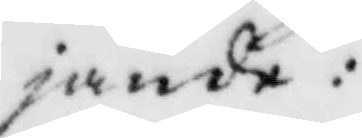jande:
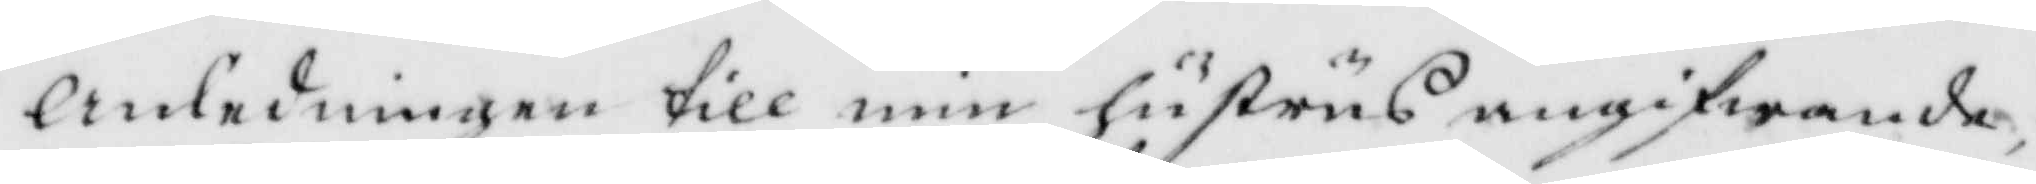Anledningen till min hustrus angifwande,
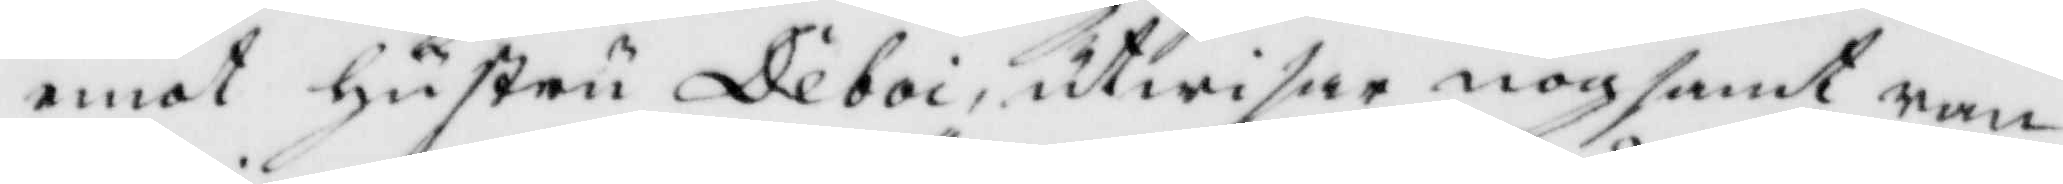emot hustru Deboi, utwisar nogsamt ran¬
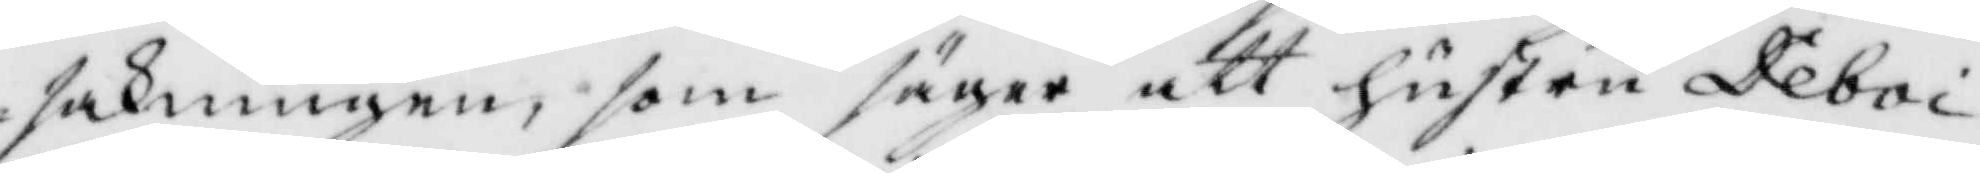sakningen, som säger att hustru Deboi
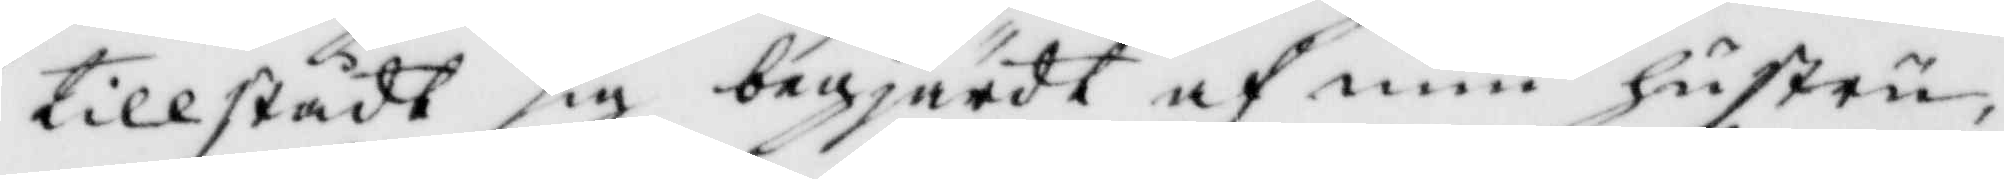tillstådt sig begjärdt af min hustru,
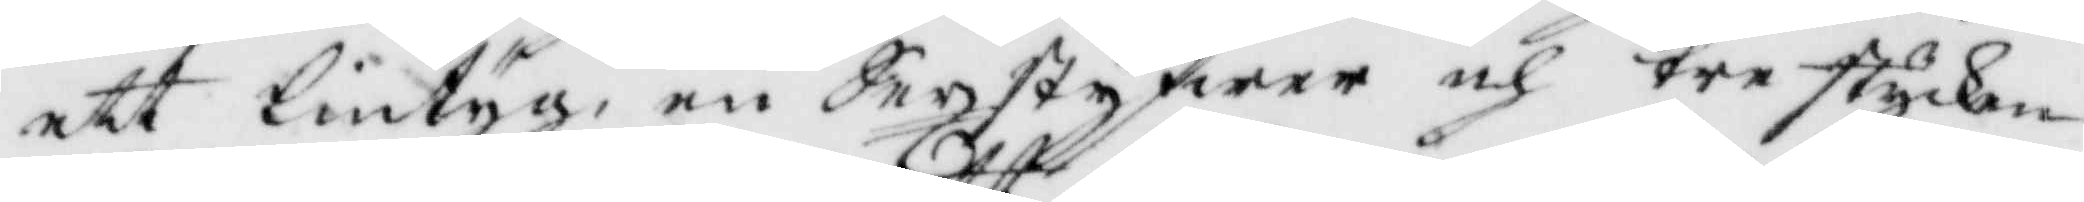ett lintyg, en Sexstyfwer och tre stycken
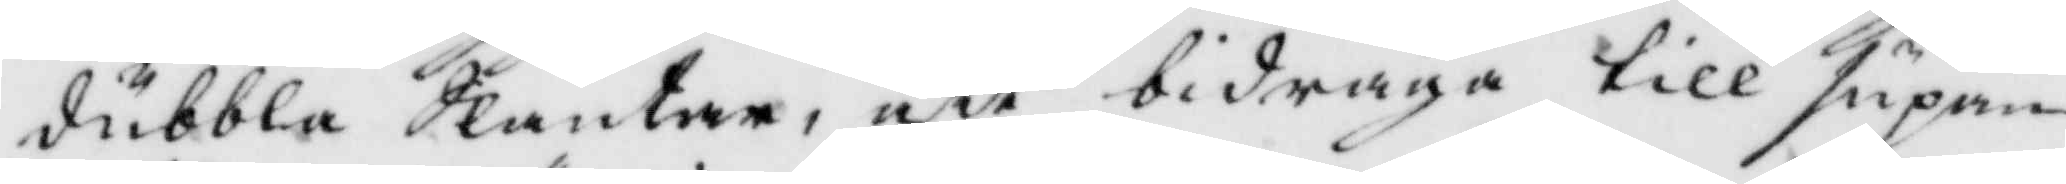dubbla Slantar, att bidråga till supan¬
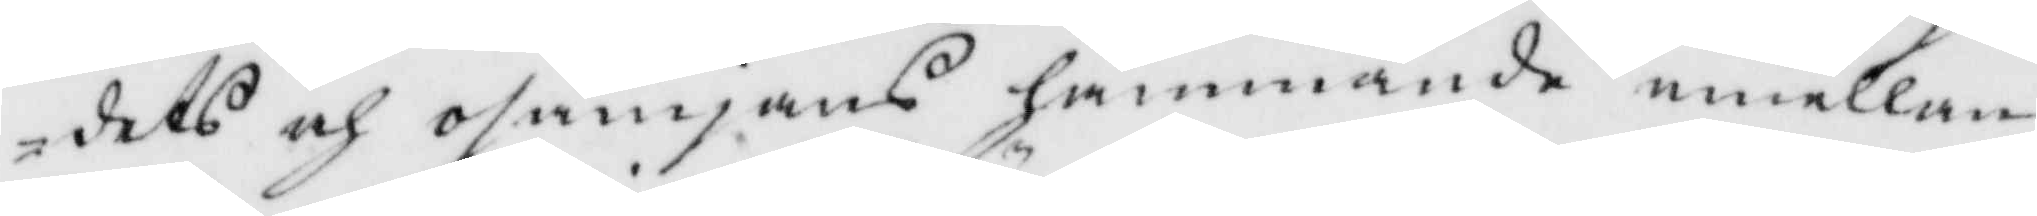dets och osämjans hämmande emellan
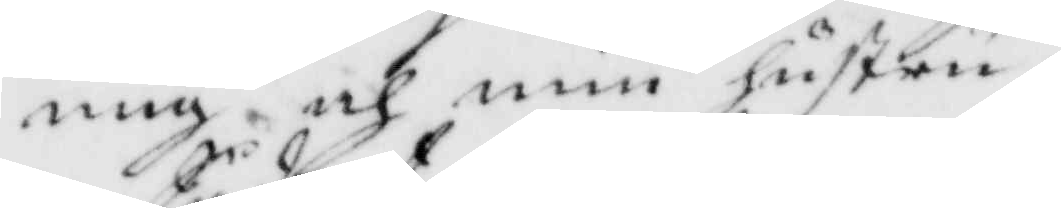mig och min hustru.
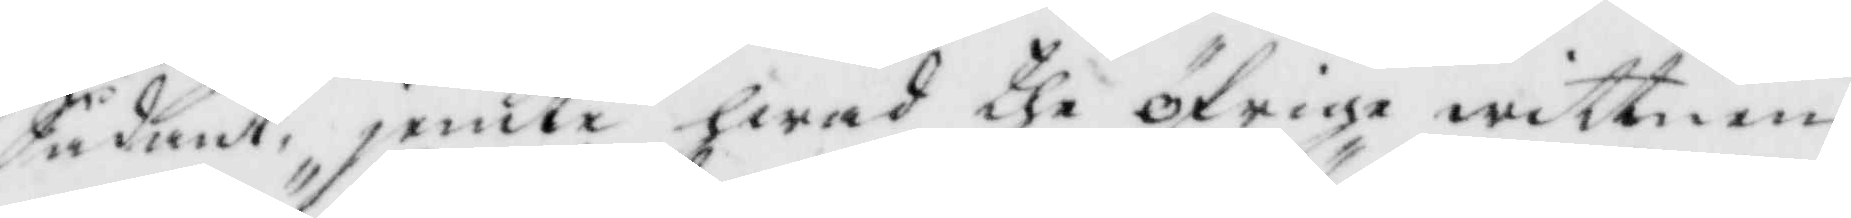Sådant, jemte hwad the öfrige wittnen
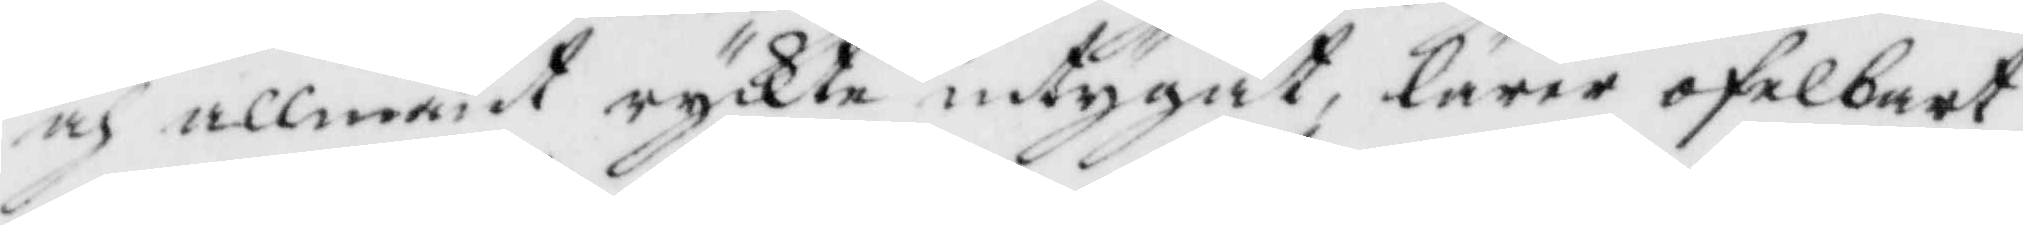och allmänt ryckte intygat, lärer ofelbart
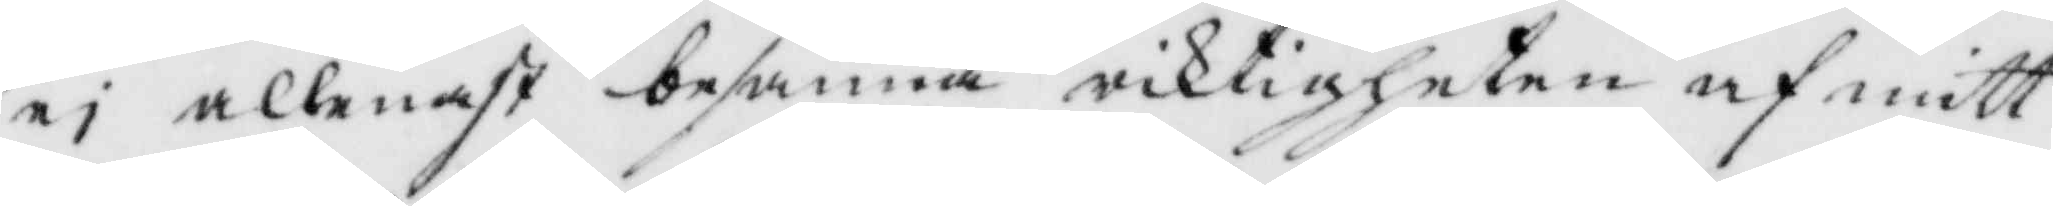ei allenast besanna riktigheten af mitt
